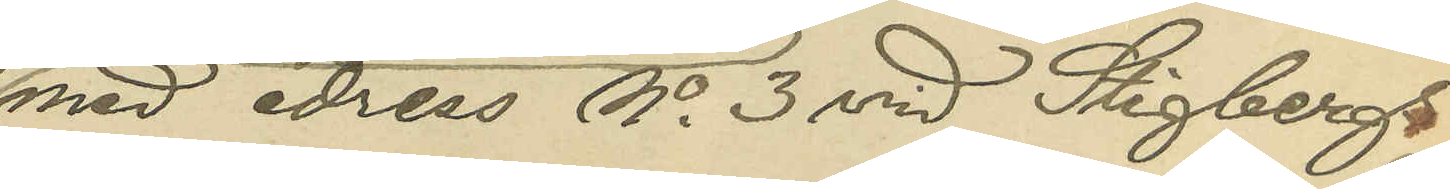med adress No 3 vid Stigbergs¬
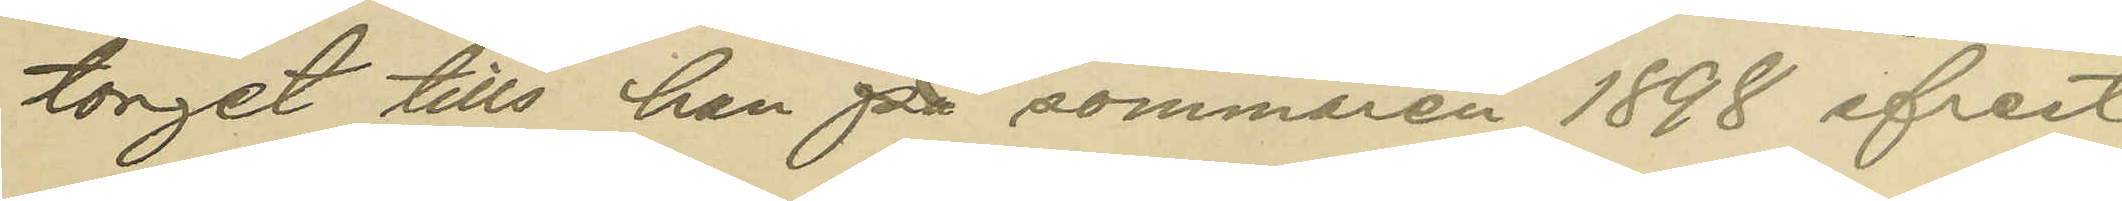torget tills han på sommaren 1898 afrest
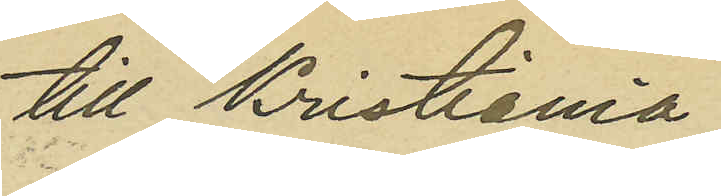till Kristiania;
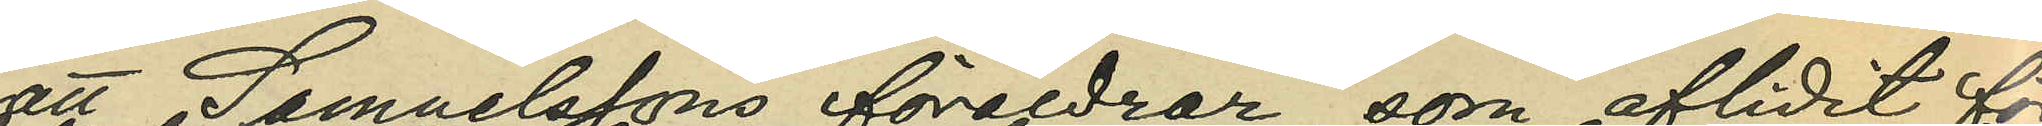att Samuelssons föräldrar, som aflidit för
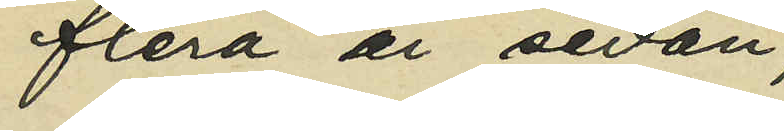flera år sedan
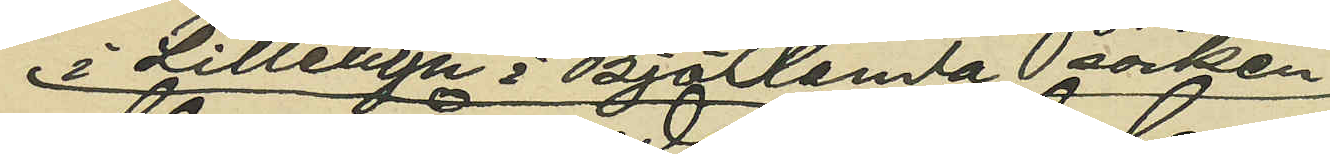i Lillebyn i Björlanda socken,
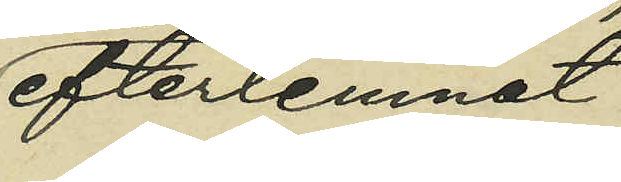efterlemnat
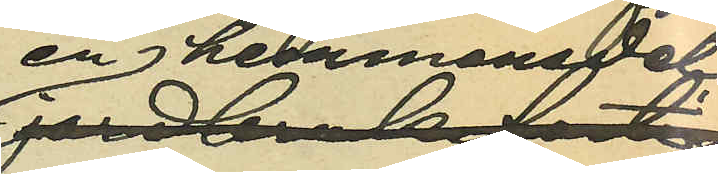en hemmansdel
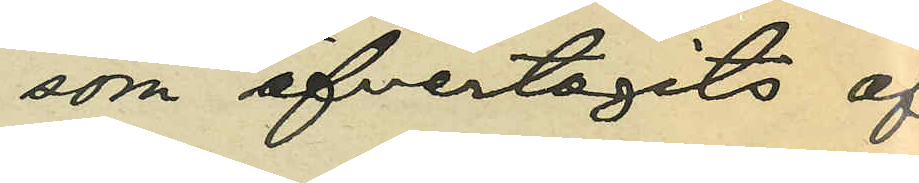som öfvertagits af
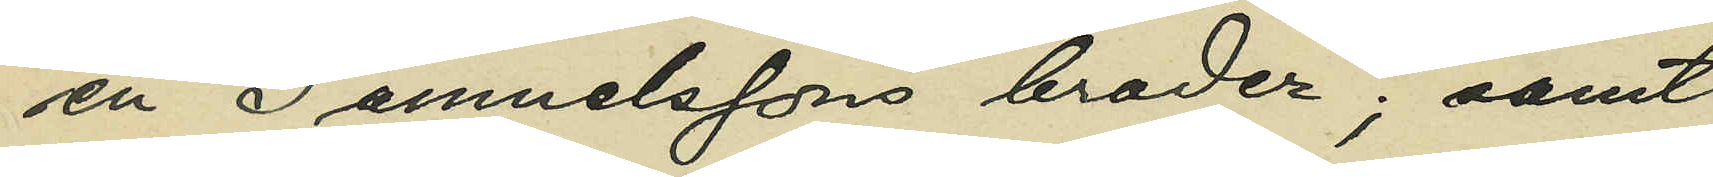en Samuelssons broder; samt
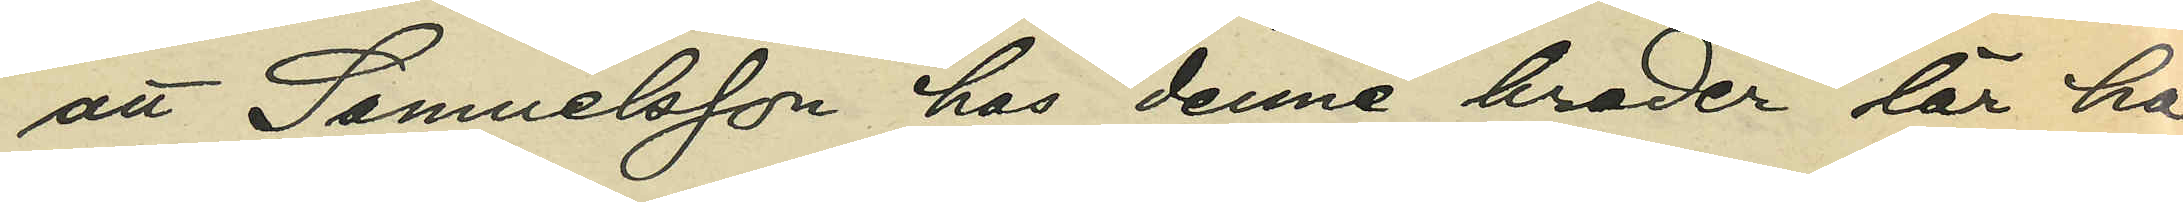att Samuelsson hos denne broder lär ha
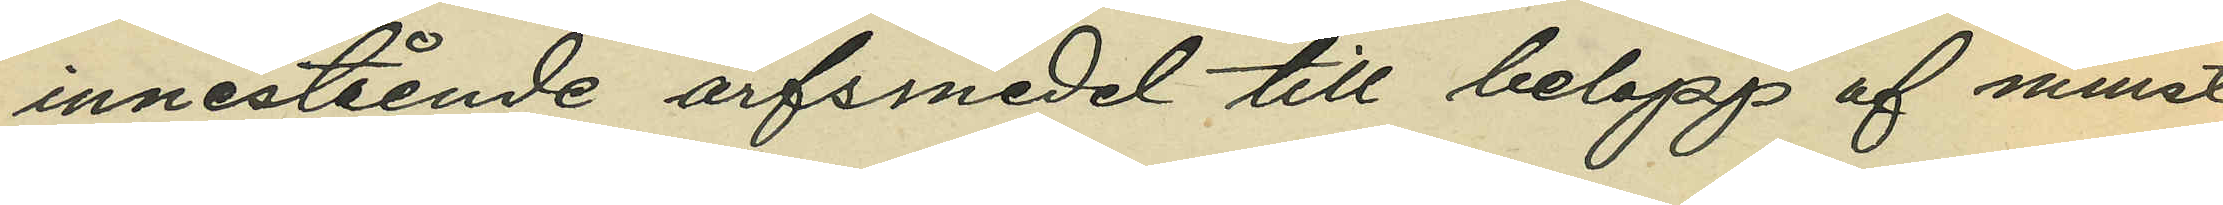innestående arfsmedel till belopp af minst
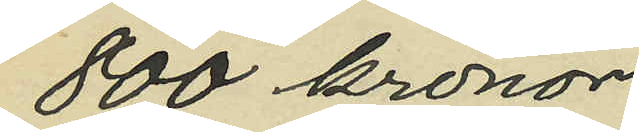800 kronor;
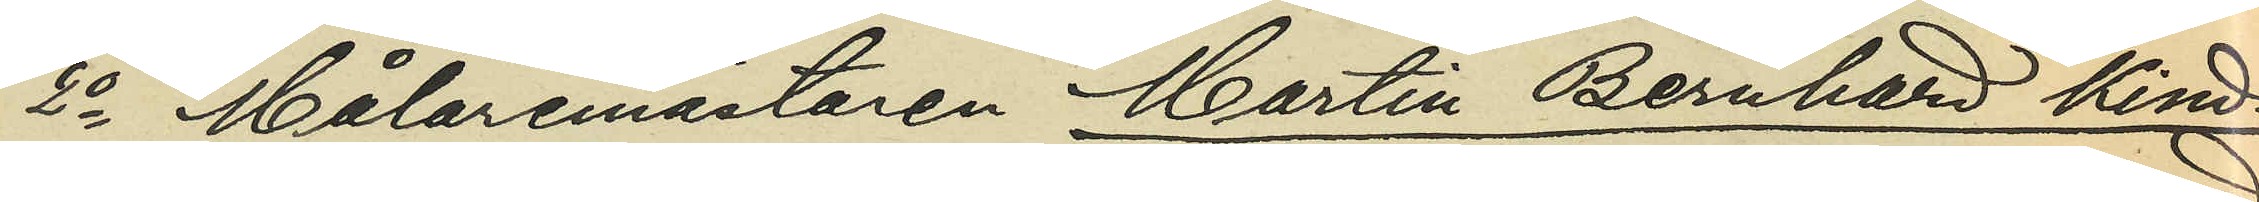2o Målaremästaren Martin Bernhard Kind¬
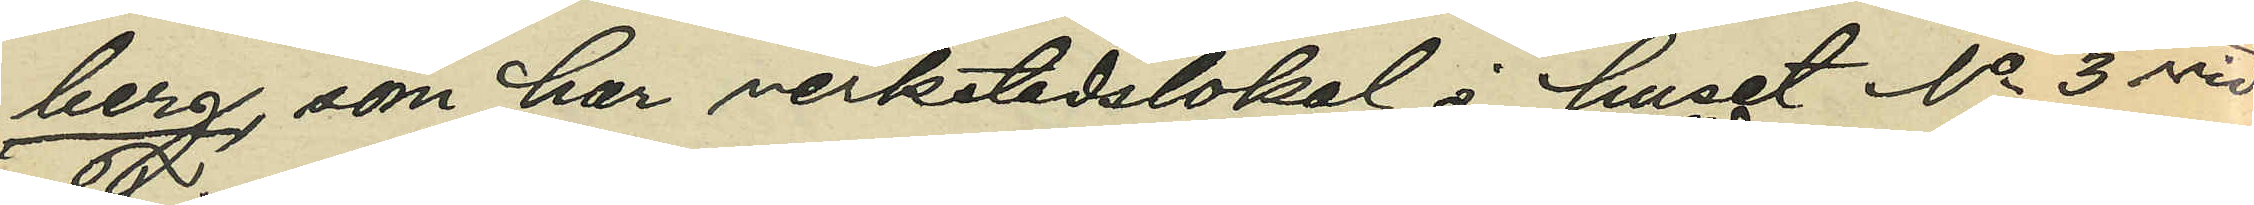berg, som har verkstadslokal i huset No 3 vid
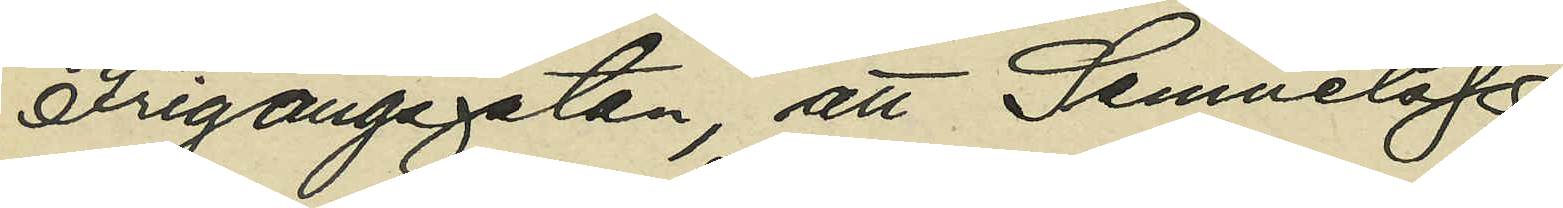Frigångsgatan, att Samuelsson 
